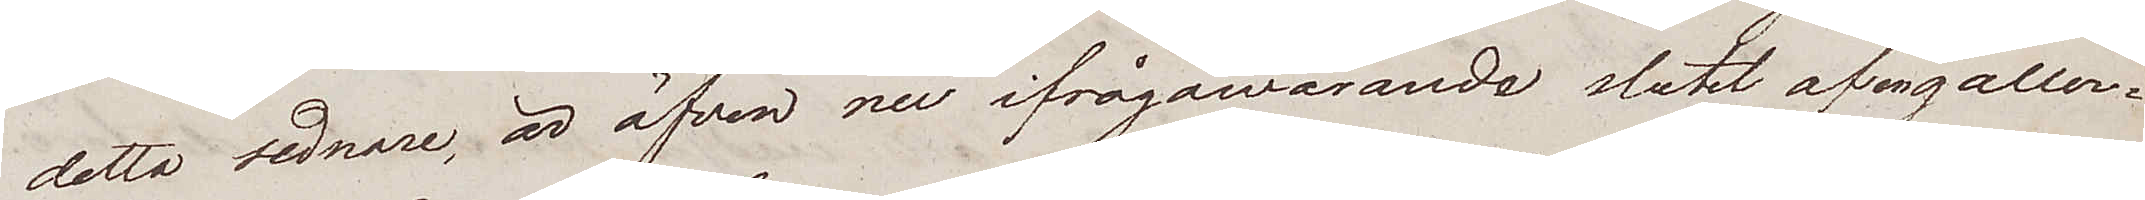detta sednare, är äfven nu ifrågawarande slutet af en galler¬
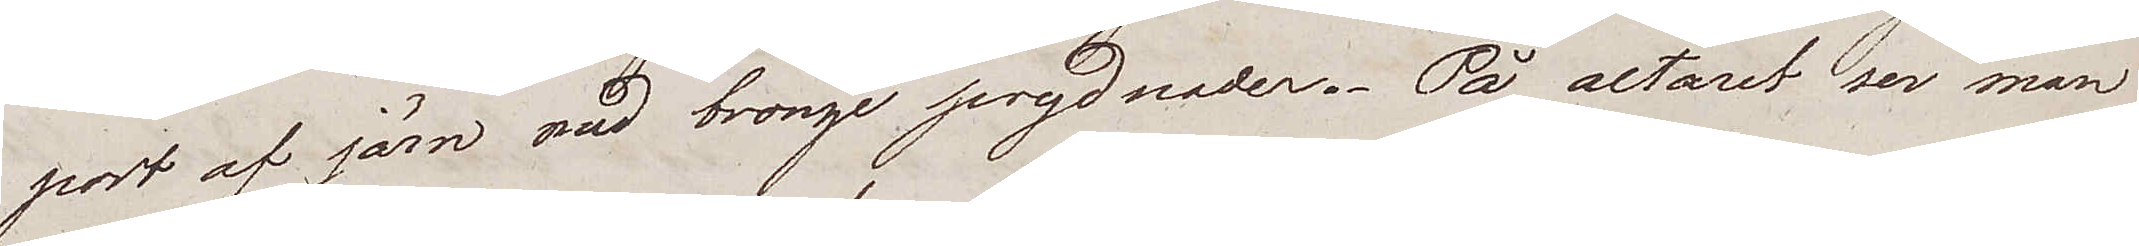port af järn med bronze prydnader. På altaret ser man
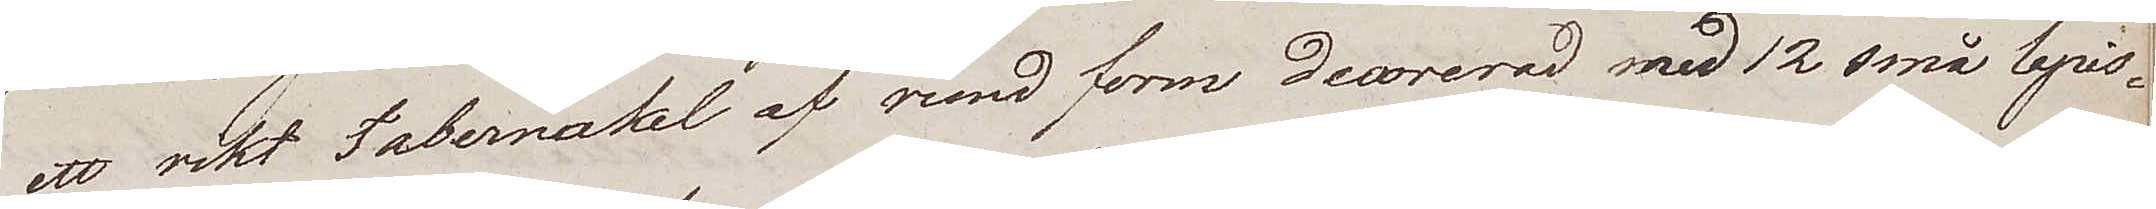ett rikt Tabernakel af rund form decorerad med 12 små lapis¬
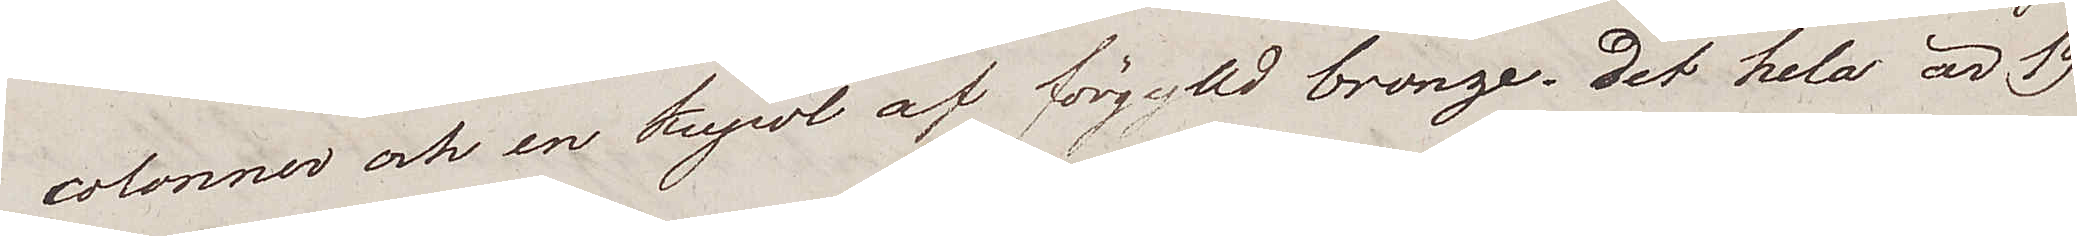colonner och en kupol af förgylld bronze. Det hela är 19
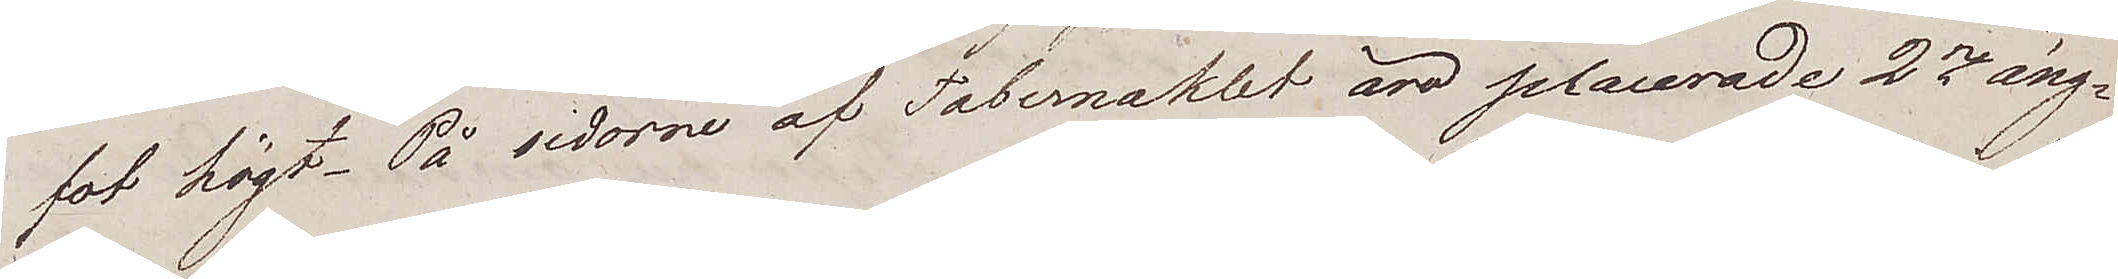fot högt. På sidorne af Tabernaklet äro placerade 2ne äng¬
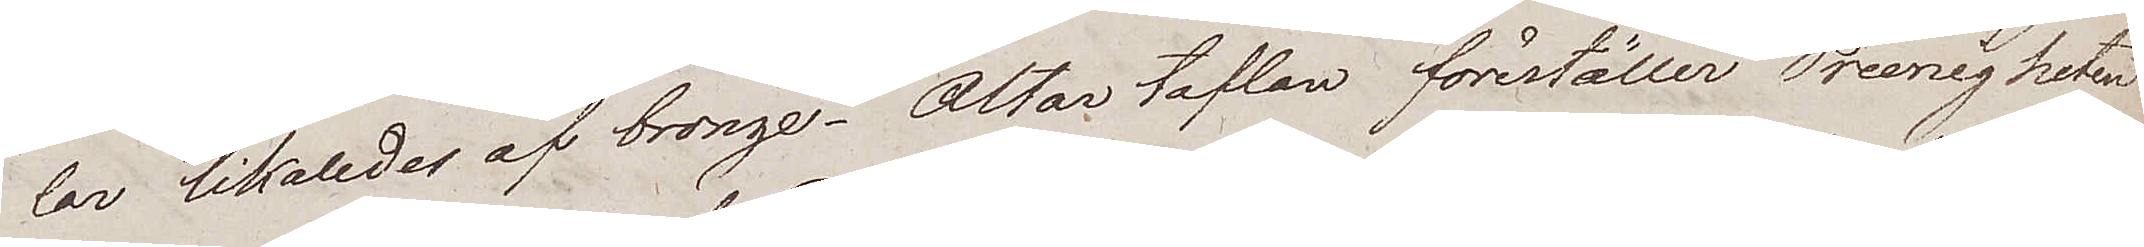lar likalades af bronze. Altar taflan föreställer Treenigheten
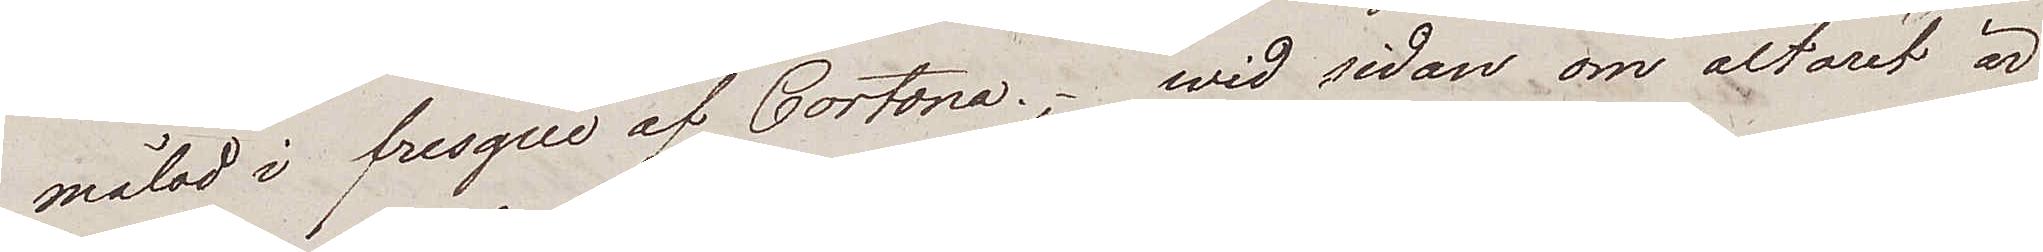målad i fresque av Cortona; wid sidan om altaret är
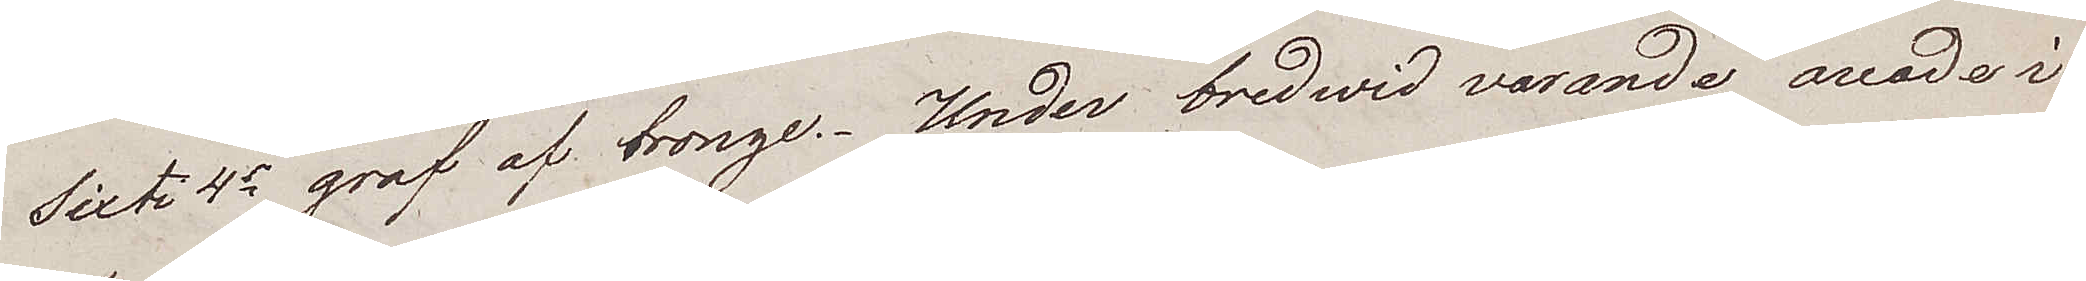Sixti 4e graf af bronze. Under bredwid varande arcader i
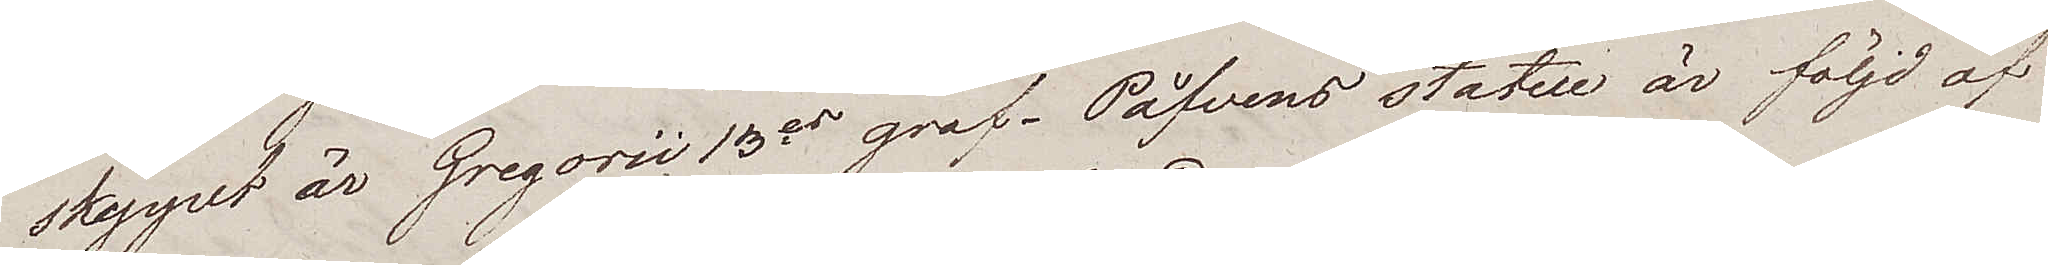skeppet är Gregorii 13es graf. Påfvens statue är följd af
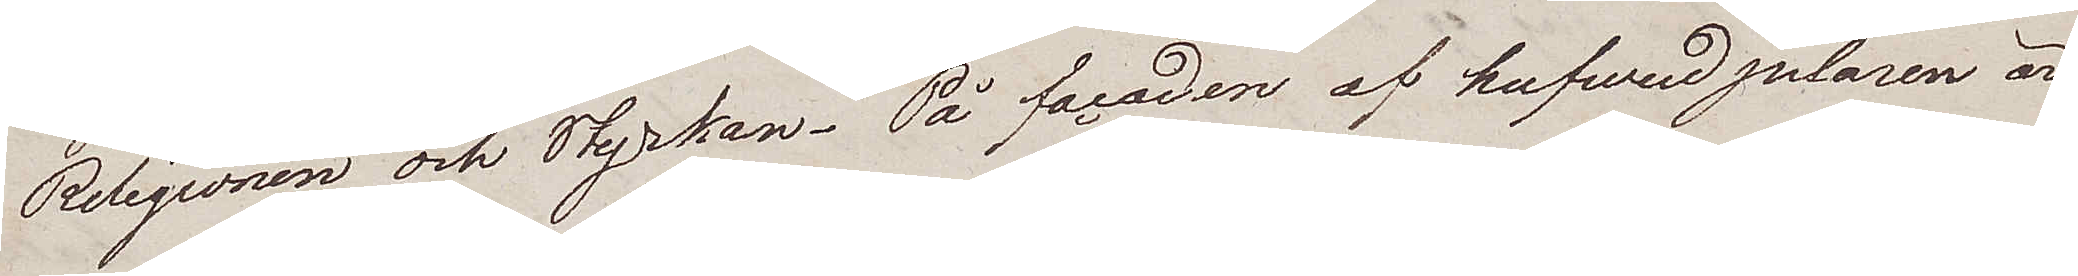Religionen och Kyrkan. På facaden af hufvud pelaren är
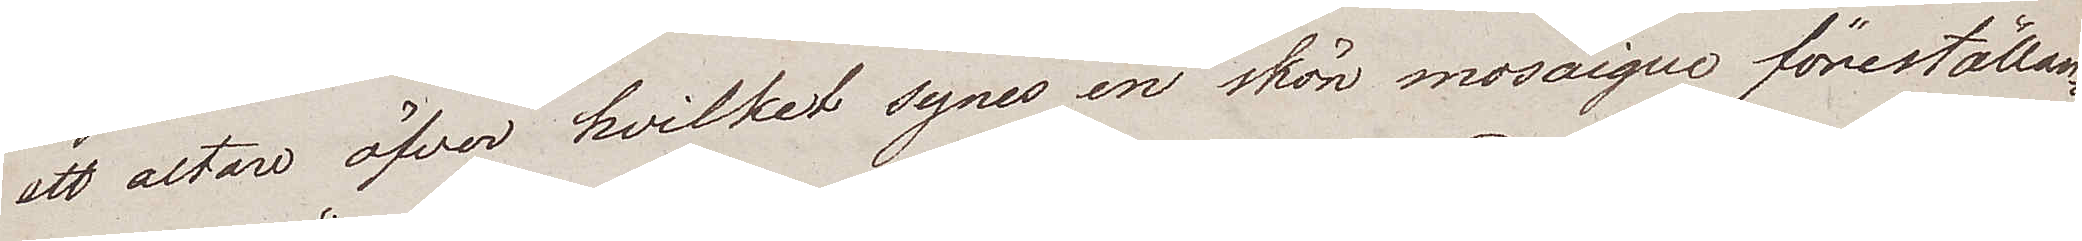ett altare öfver hvilket synes en skön mosaique föreställan¬
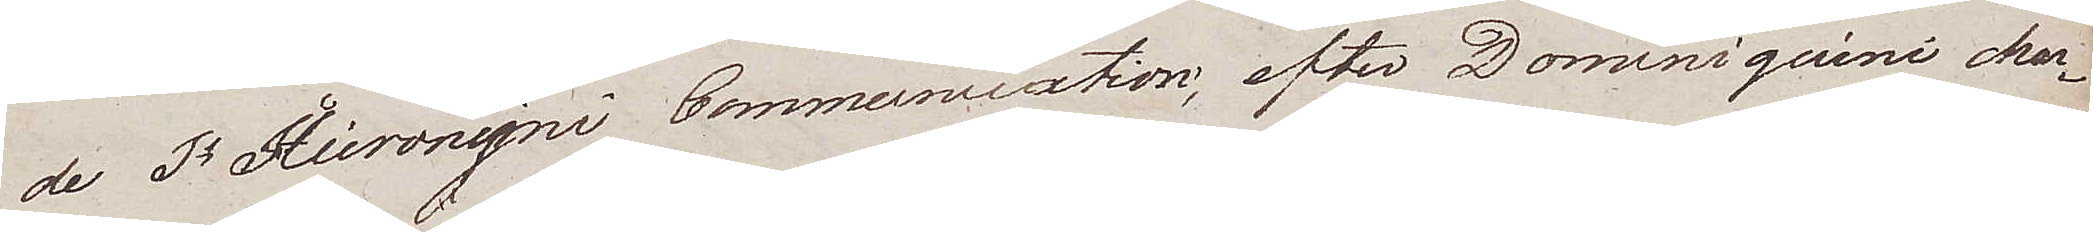de St Hieronymi Communlction, efter Dominiquini char¬
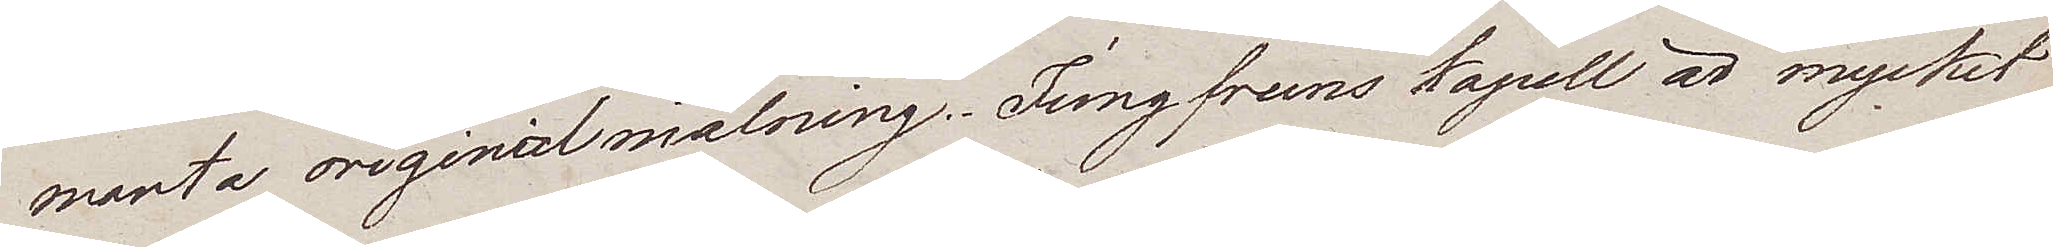manta originalmålning. Jungfruns kapell är mycket
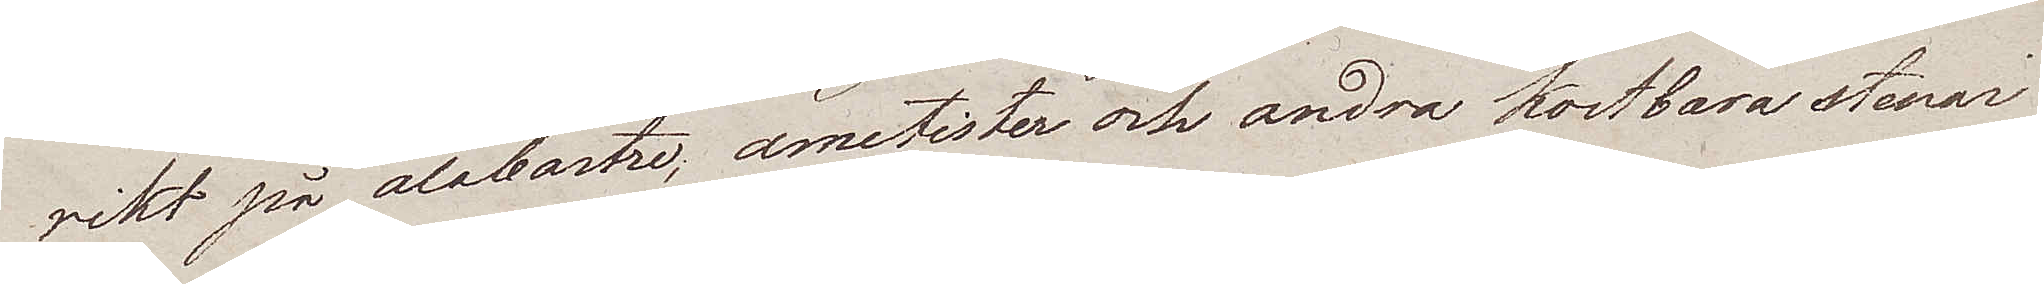rikt på alabastre, ametister och andra kostbara stenar
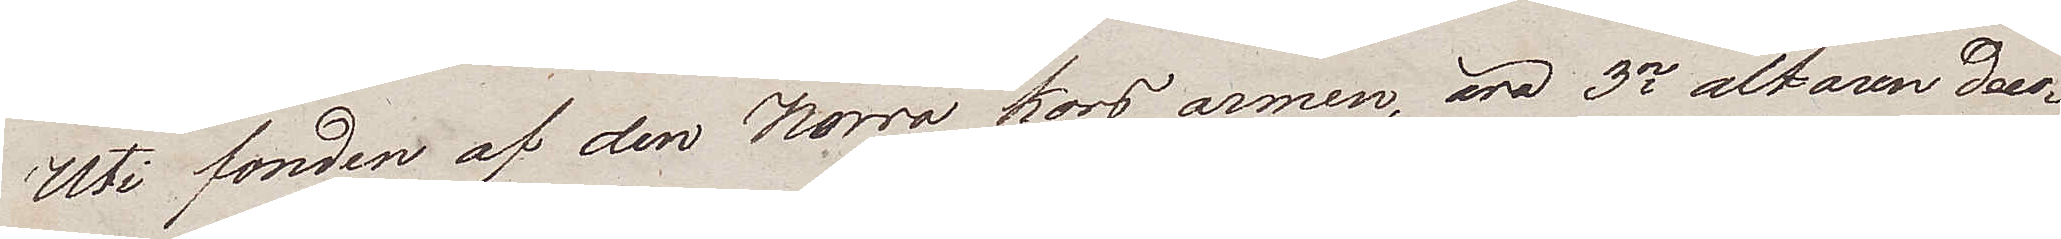Uti fonden af den Norra kors armen, äro 3ne altaren deco¬
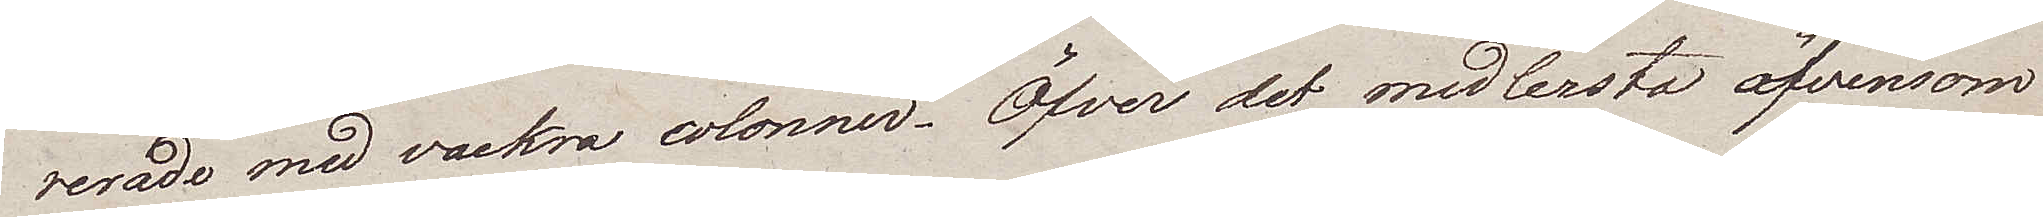rerade med vackra colonner. Öfver det medlersta äfvensom
